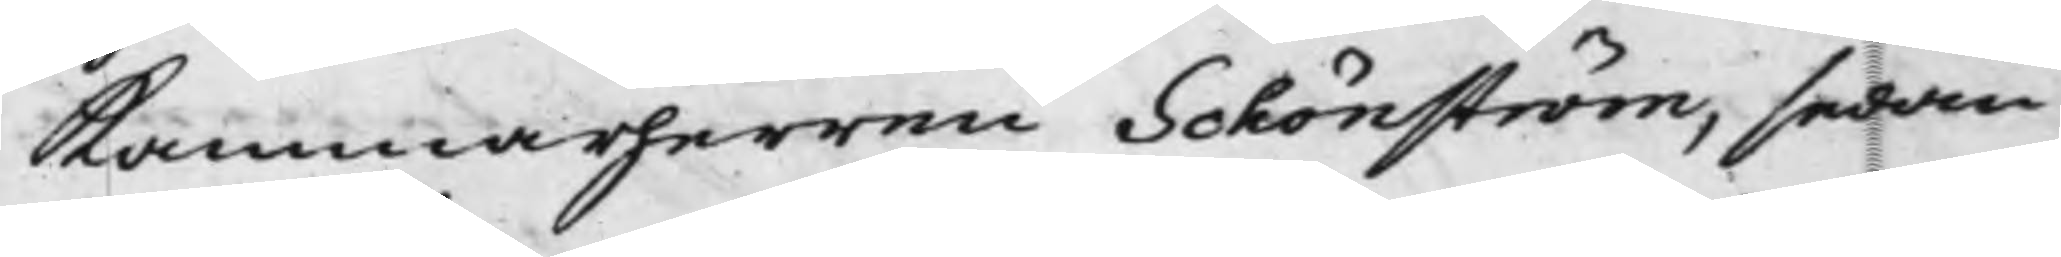Kammarherren Schönström, sedan
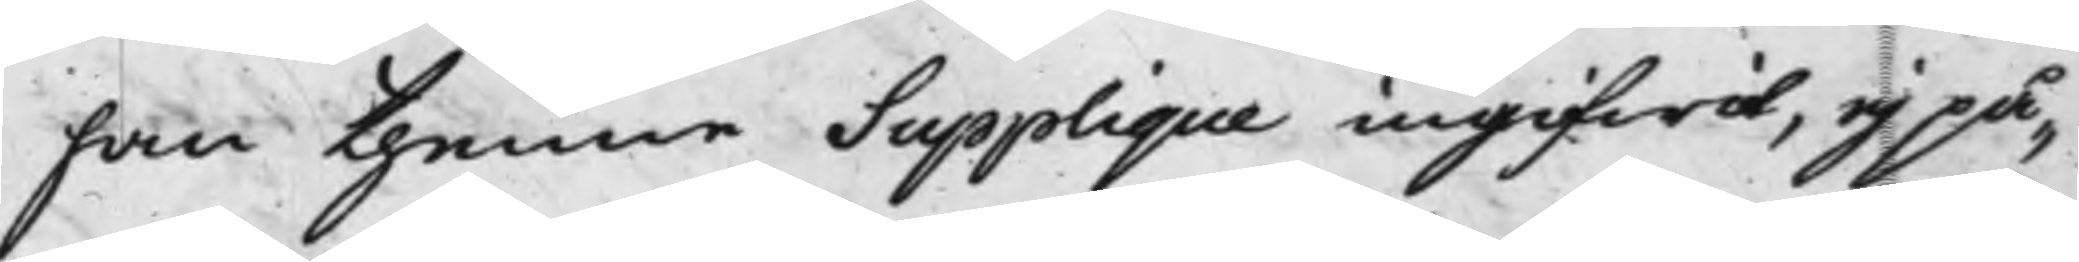han thenne Supplique ingifwit, ej på¬
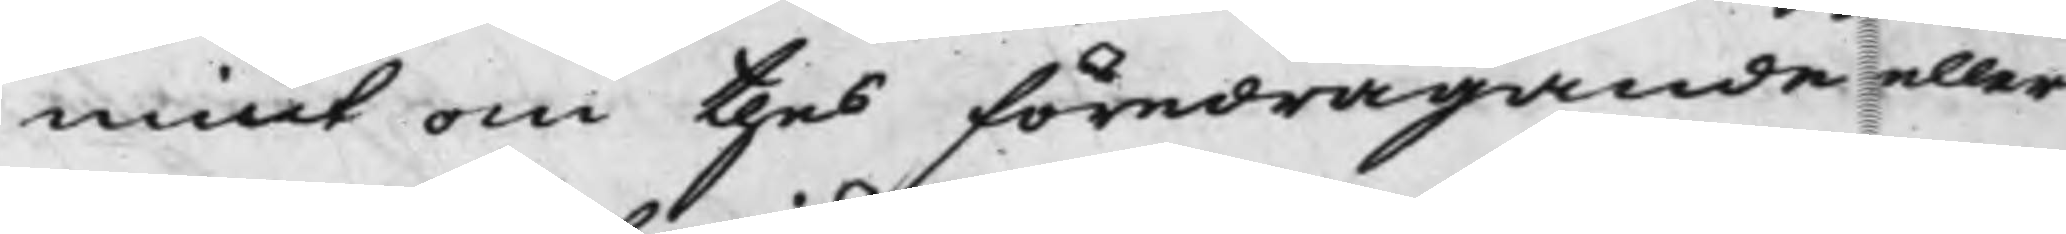mint om thes föredragande eller
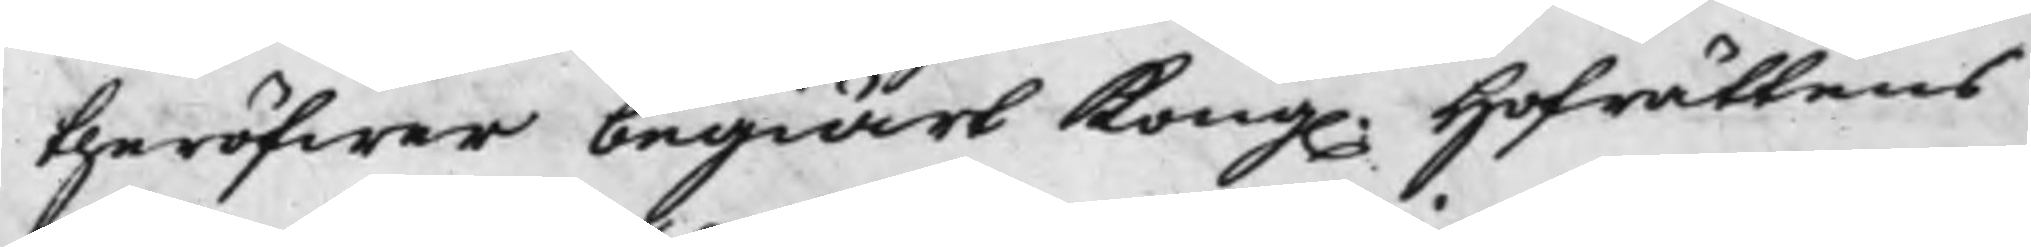theröfwer begiärt Kong. Hofrättens
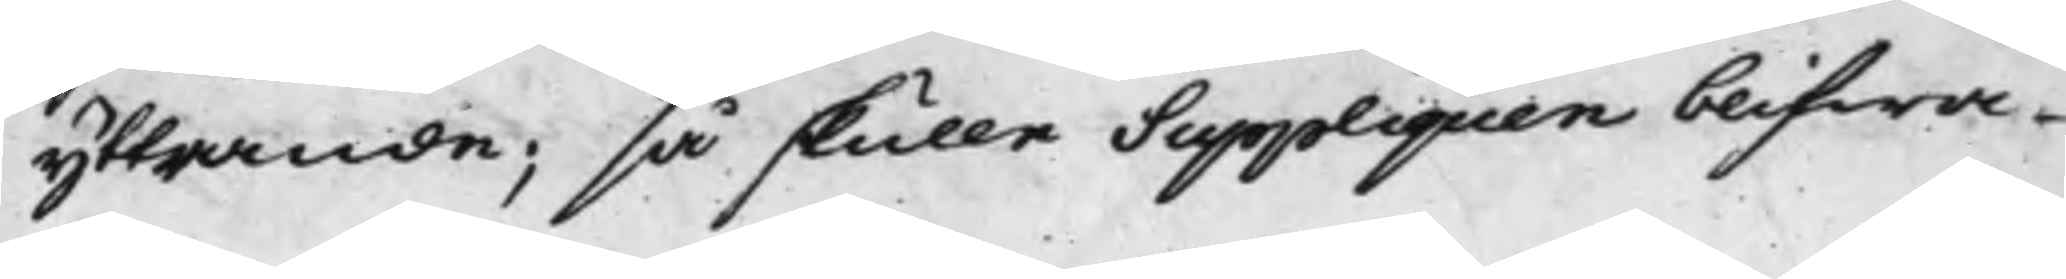yttrande; så skulle Suppliquen blifwa
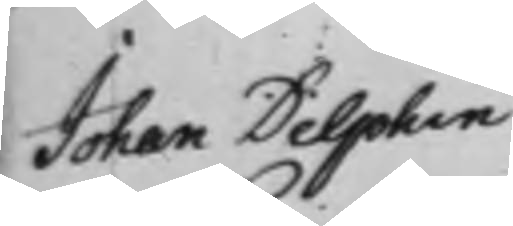Johan Delphin
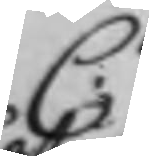C.
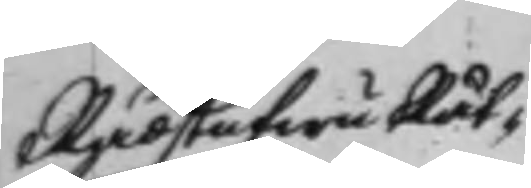RådstufwuRät¬
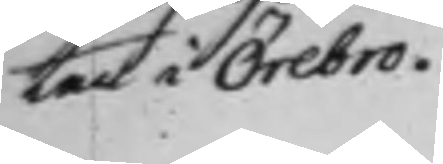ten i Örebro.
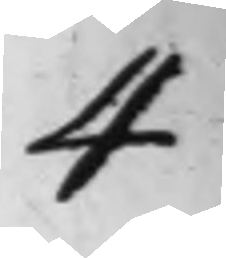4
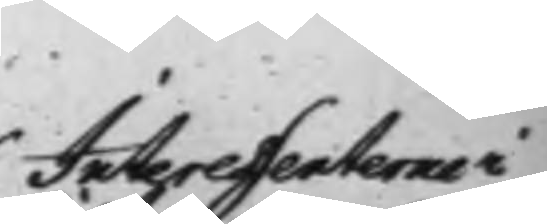Interessenterne i
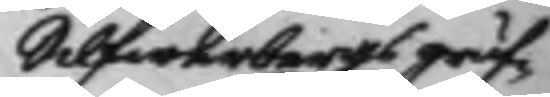Silfwerbergs gruf¬
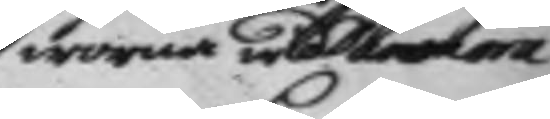worna wid Danmora
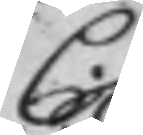C.
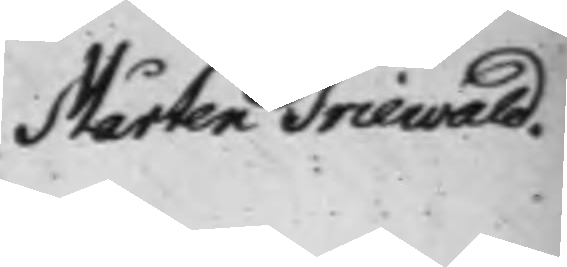Mårten Triewald.
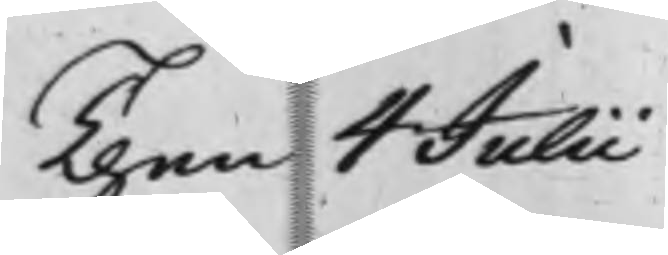Then 4 Julii
